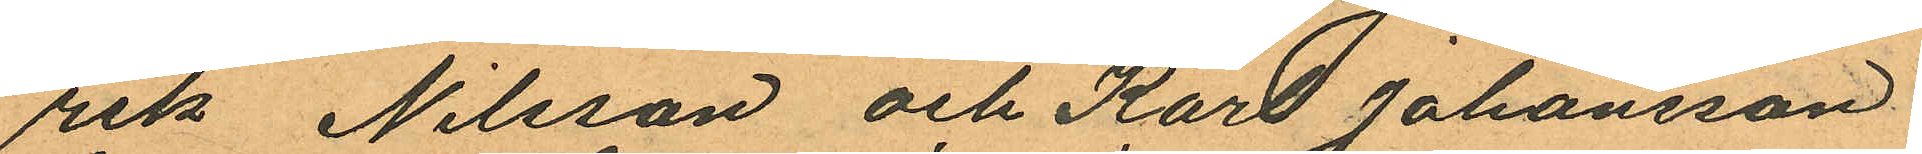rik Nilsson och Karl Johansson
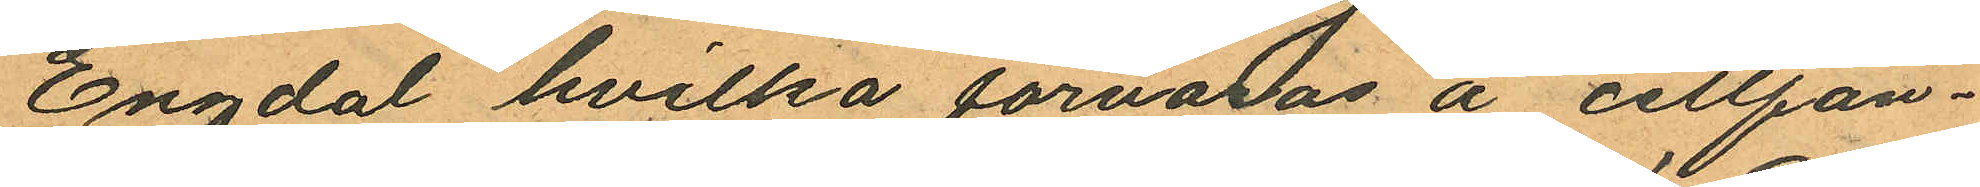Engdal hvilka förvaras å cellfän¬
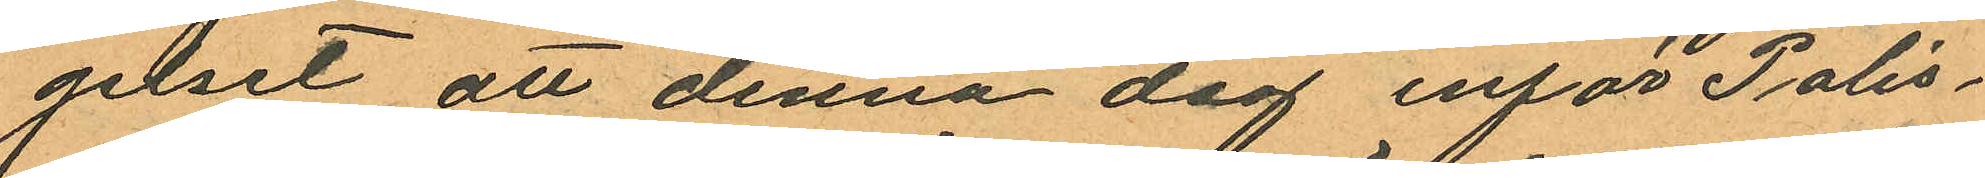gelset att denna dag inför Polis¬
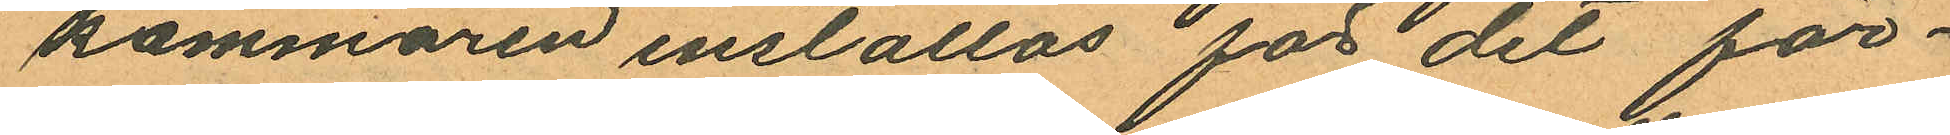kammaren inställas för det för¬
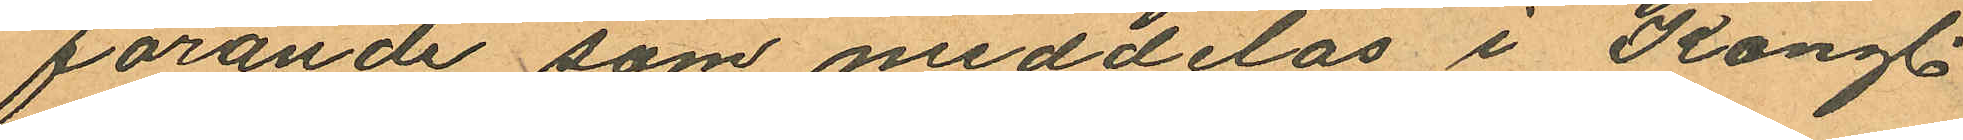farande som meddelas i Kongl.
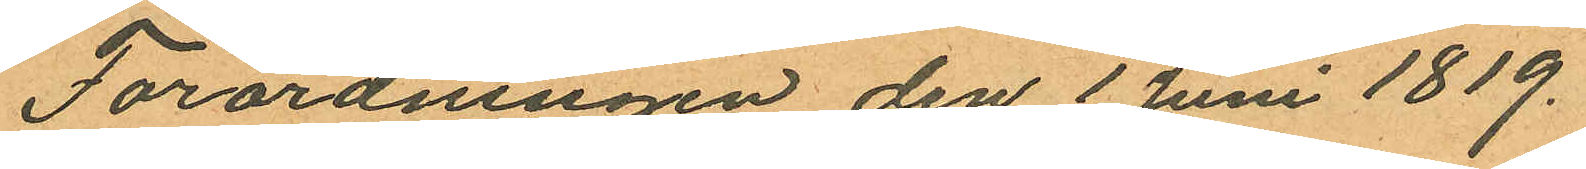Förordningen den 1 Juni 1819.
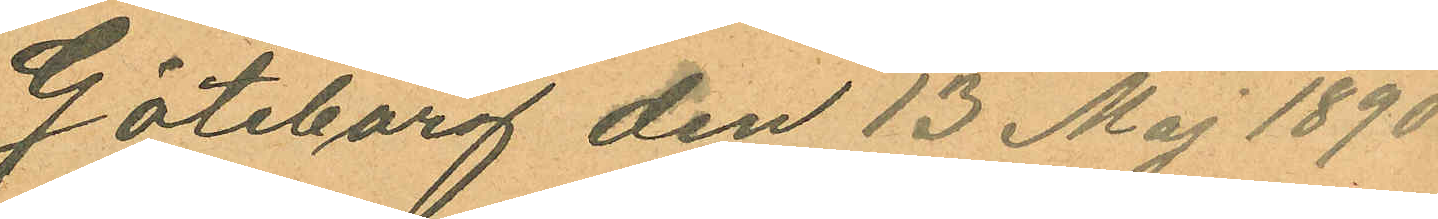Göteborg den 13 Maj 1890
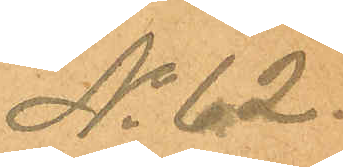No 62.
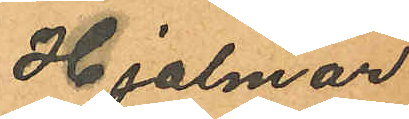Hjalmar
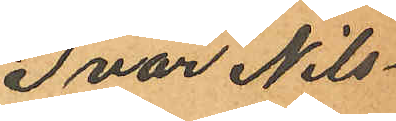Ivar Nils¬
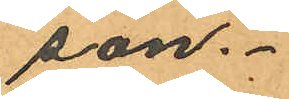son.
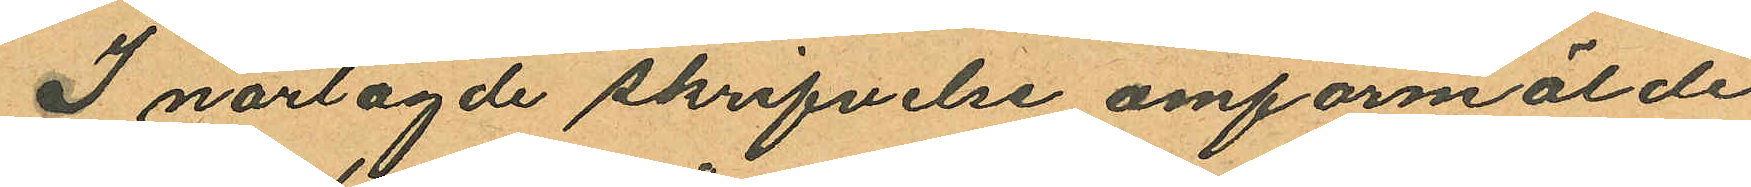I närlagde skrifvelse omförmälde
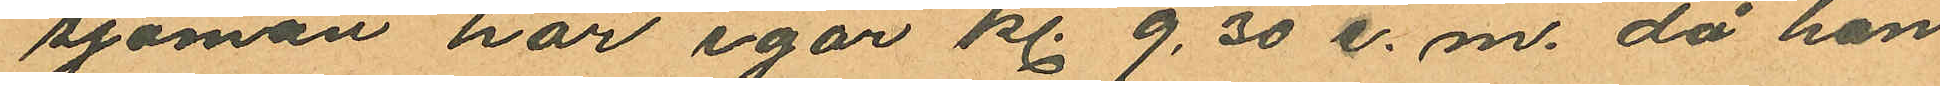sjöman har igår kl. 9,30 e.m. då han
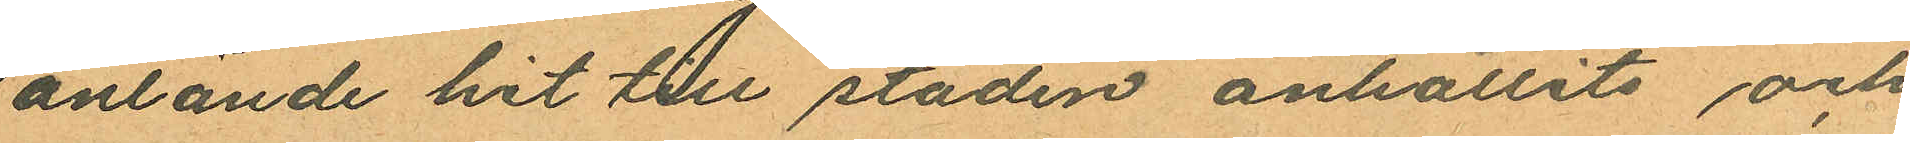anlände hit till staden anhållits och
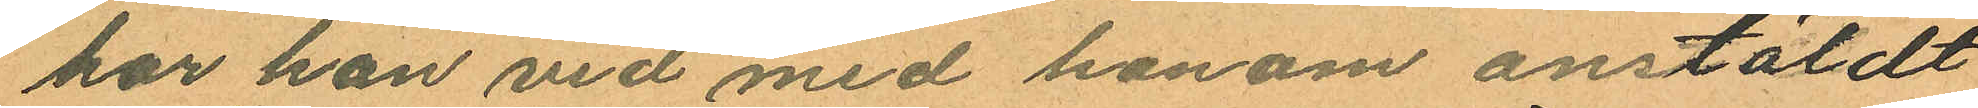har han vid med honom anstäldt
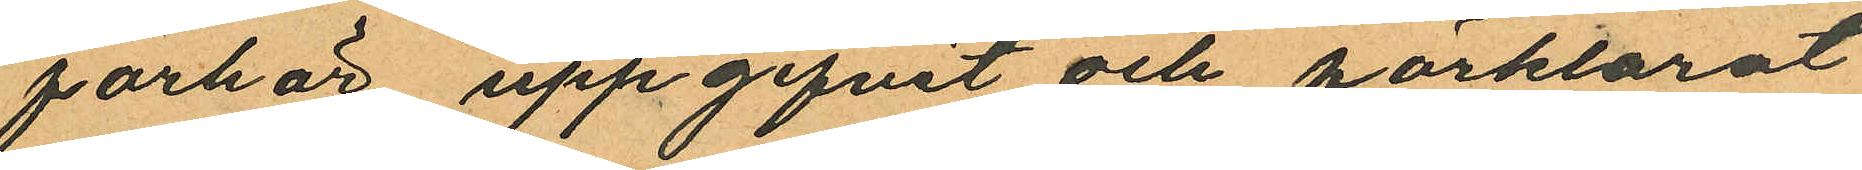förhör uppgifvit och förklarat
